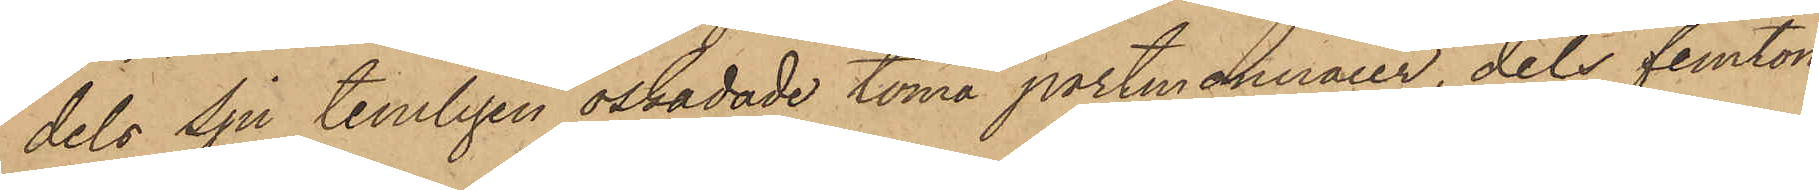dels sju temligen oskadade toma portmonnaier, dels femton
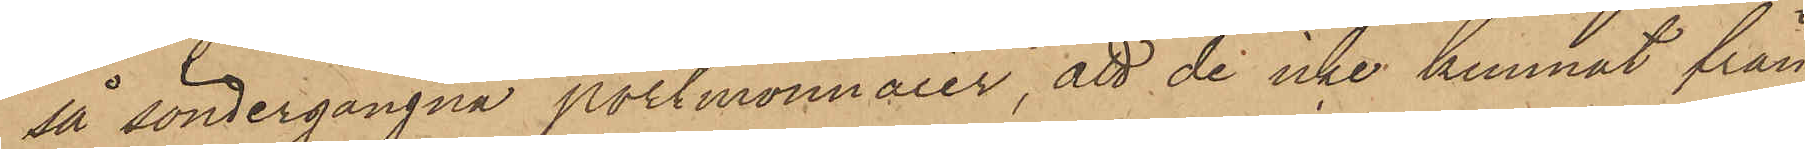så söndergångna portmonnaier, att de icke kunnat från
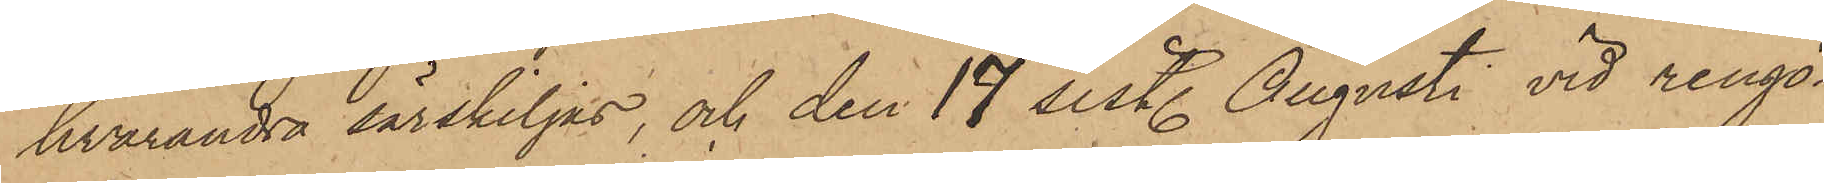hvarandra särskiljas, och den 19 sist. Augusti vid rengö¬
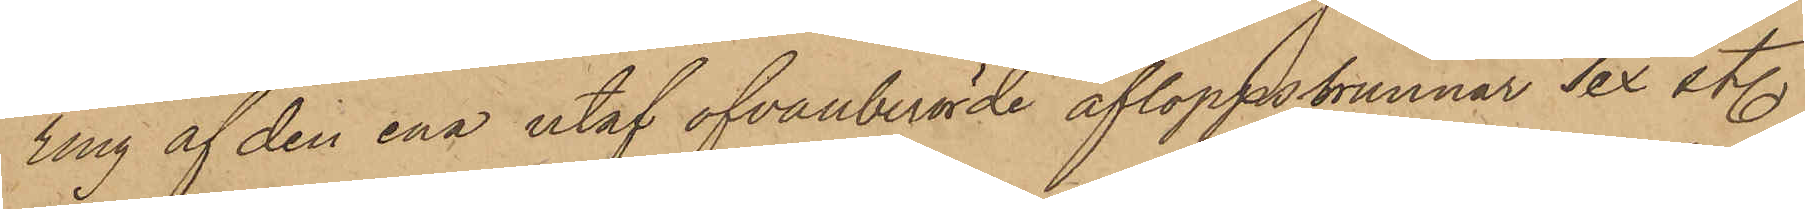ring af den ena utaf ofvanberörde afloppsbrunnar sex st.
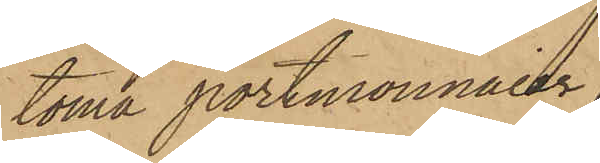toma portmonnaier,
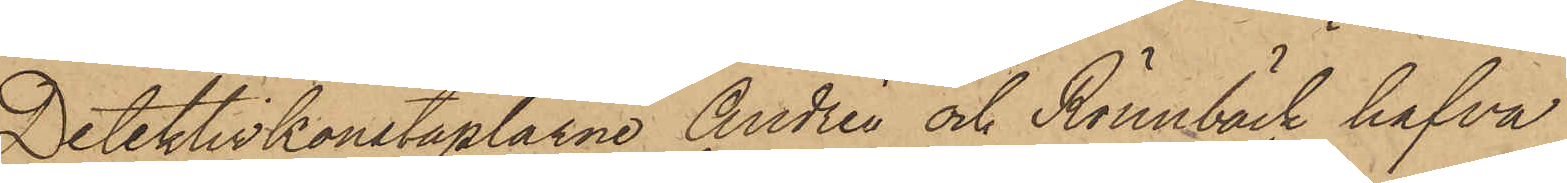Detektivkonstaplarne Andrén och Rönnbäck hafva
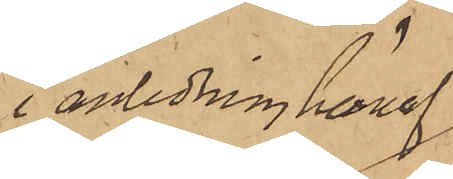i anledning häraf
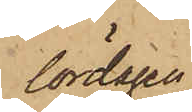lördagen
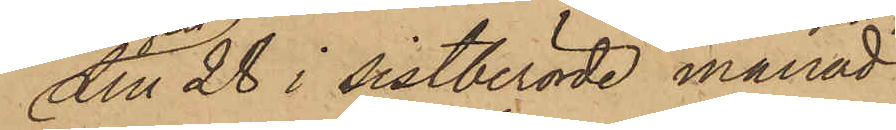den 28 i sistberörde månad
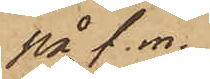på f. m.
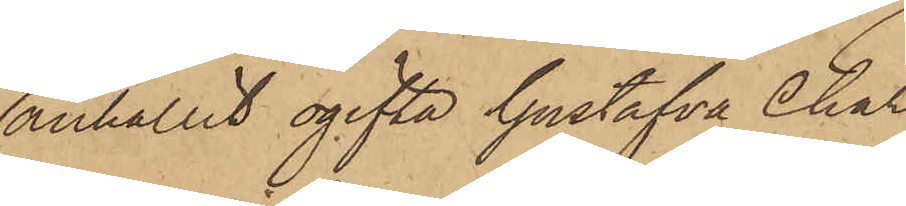anhållit ogifta Gustafva Char¬
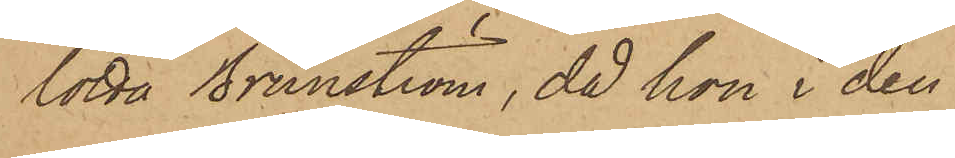lotta Brunström, då hon i den
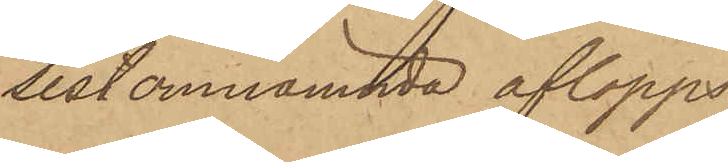sist omnämnda aflopps¬
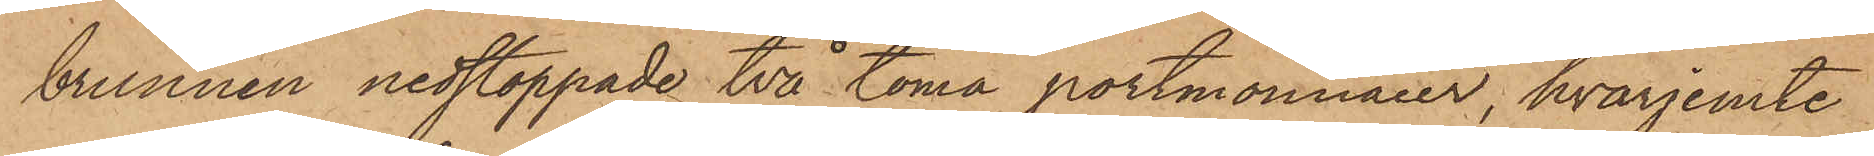brunnen nedstoppade två toma portmonnaier, hvarjemte
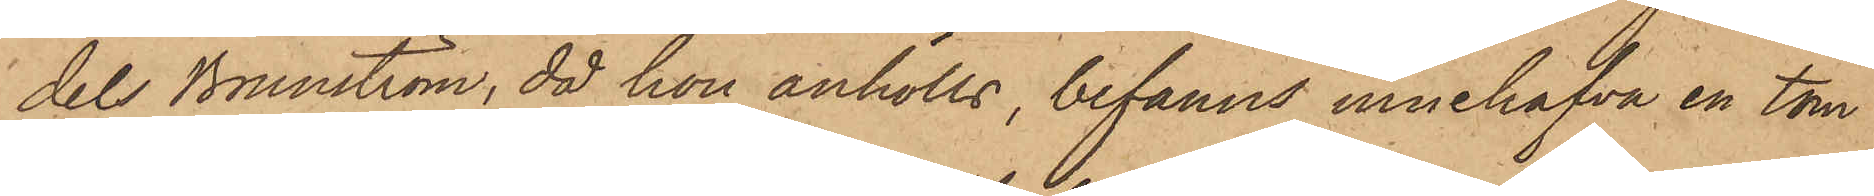dels Brunström, då hon anhölls, befanns innehafva en tom
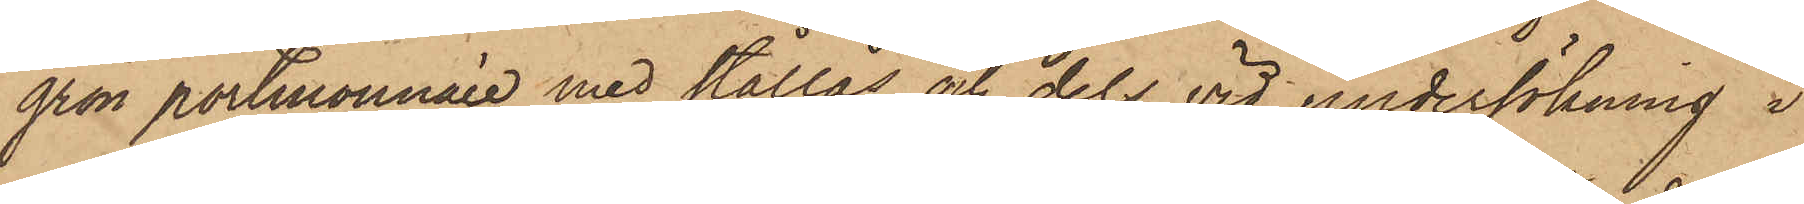grön portmonnaie med stållås och dels vid undersökning i
